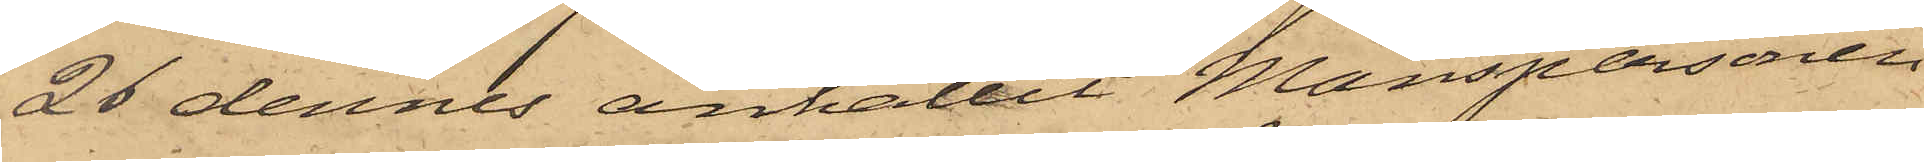26 dennes anhållit Manspersonen
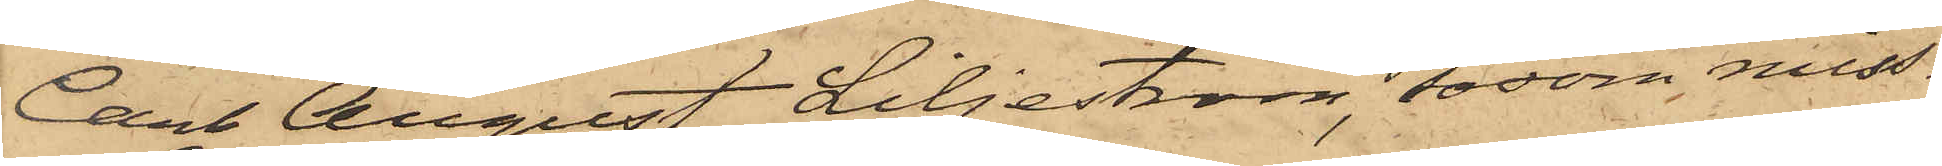Carl August Liljeström, såsom miss¬
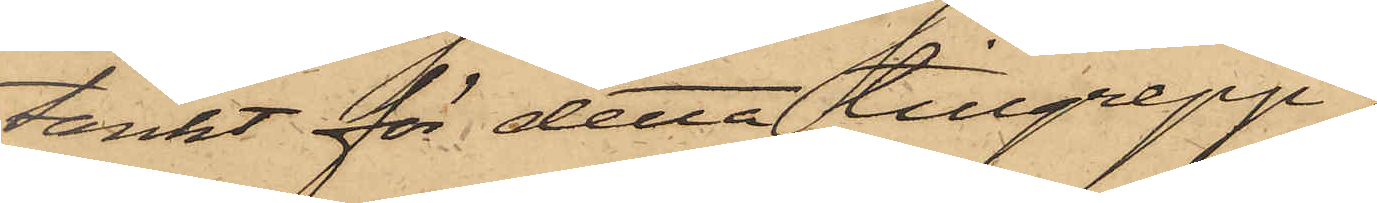tänkt för detta tillgrepp.
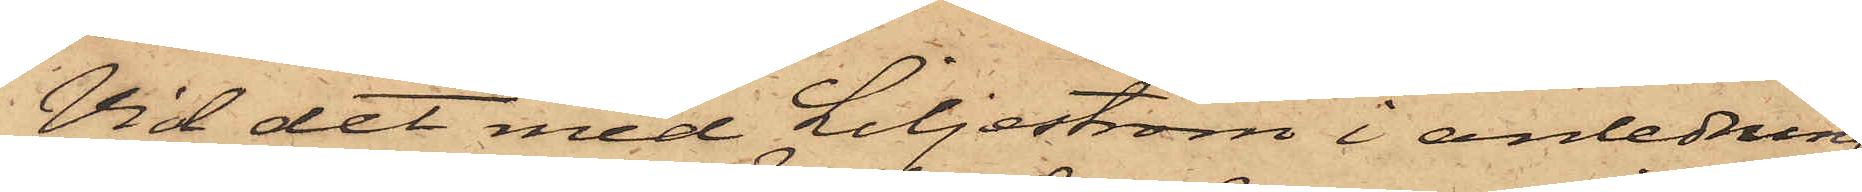Vid det med Liljeström i anledning
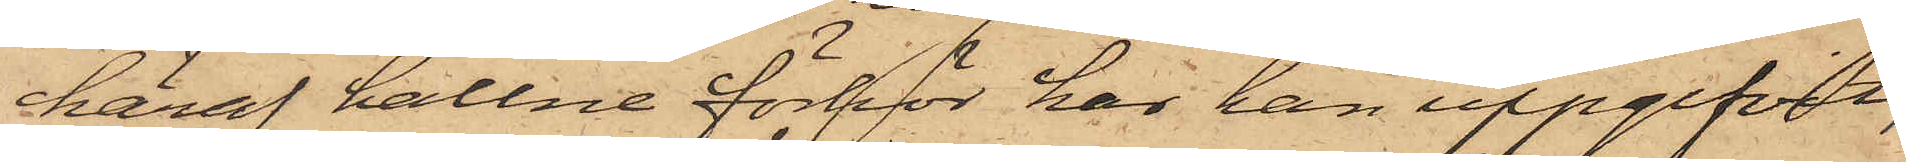häraf hållne förhör har han uppgifvit,
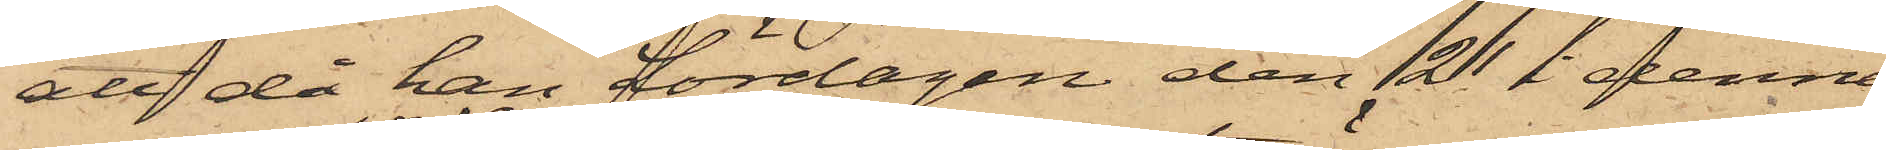att då han Lördagen den 21 i denna
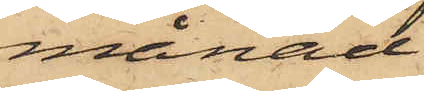månad
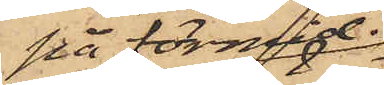på förmid.
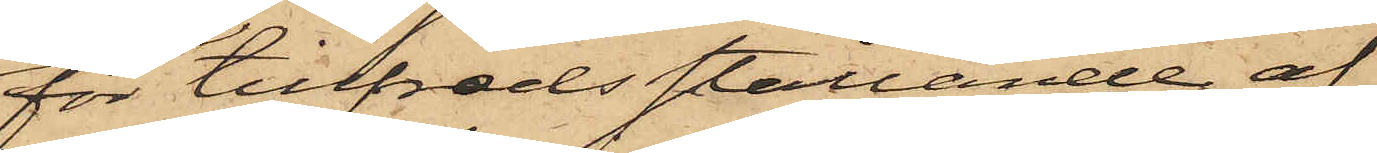för tillfredsställande af
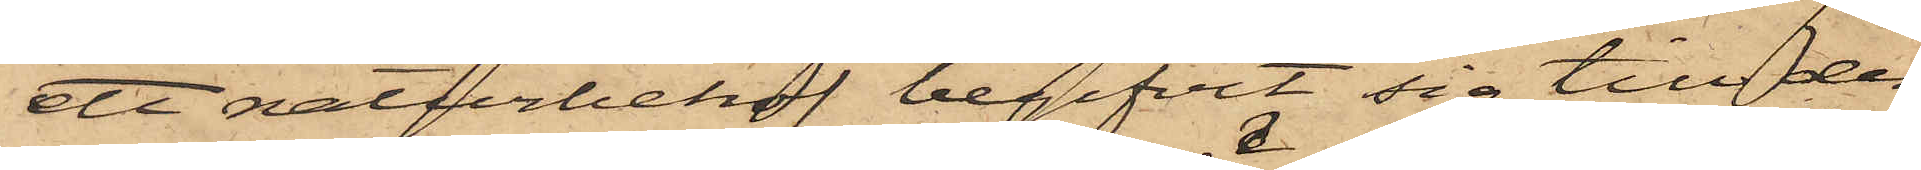ett naturbehof begifvit sig till den
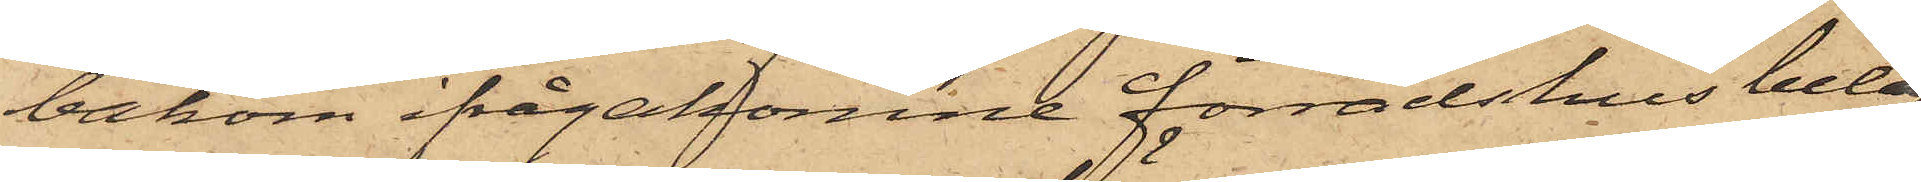bakom ifrågakomne förrådshus beläg¬
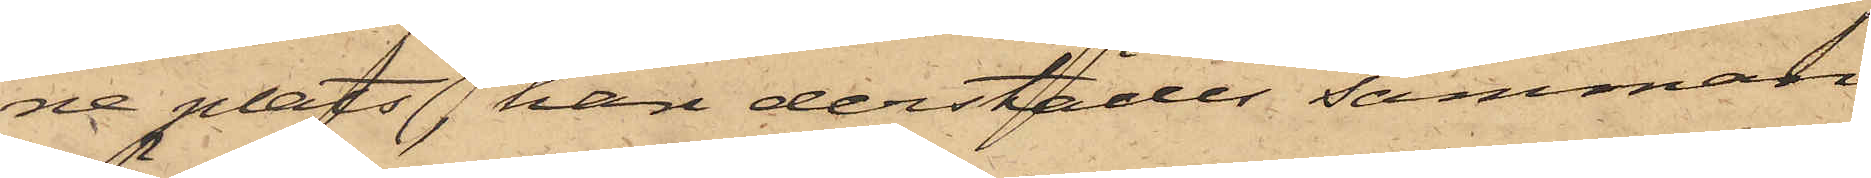ne plats, han derstädes samman¬
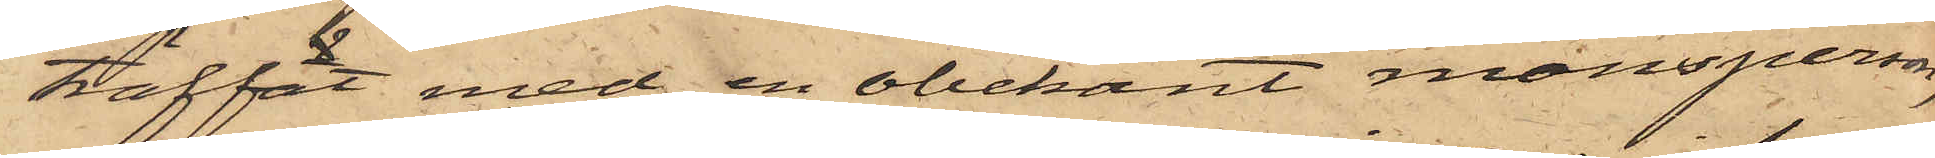träffat med en obekant mansperson,
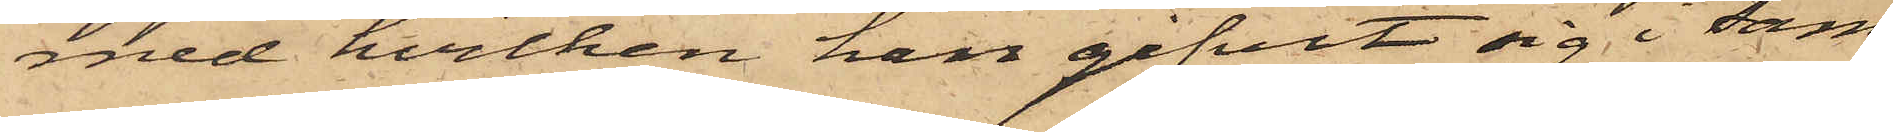med hvilken han gifvit sig i sam¬
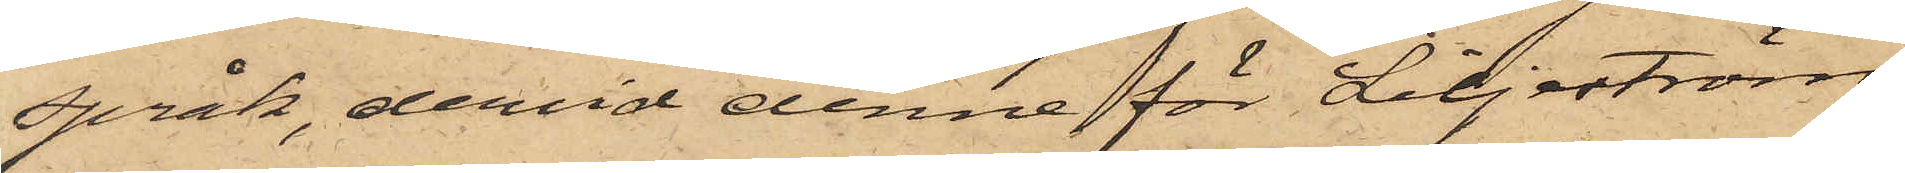språk, dervid denne för Liljeström
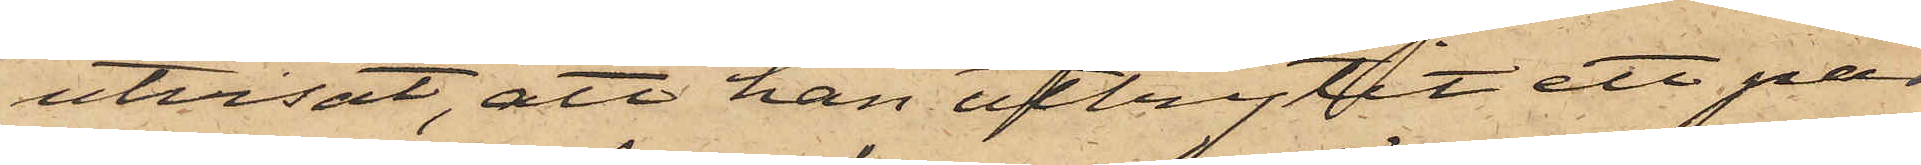utvisat, att han utbrytit ett par
